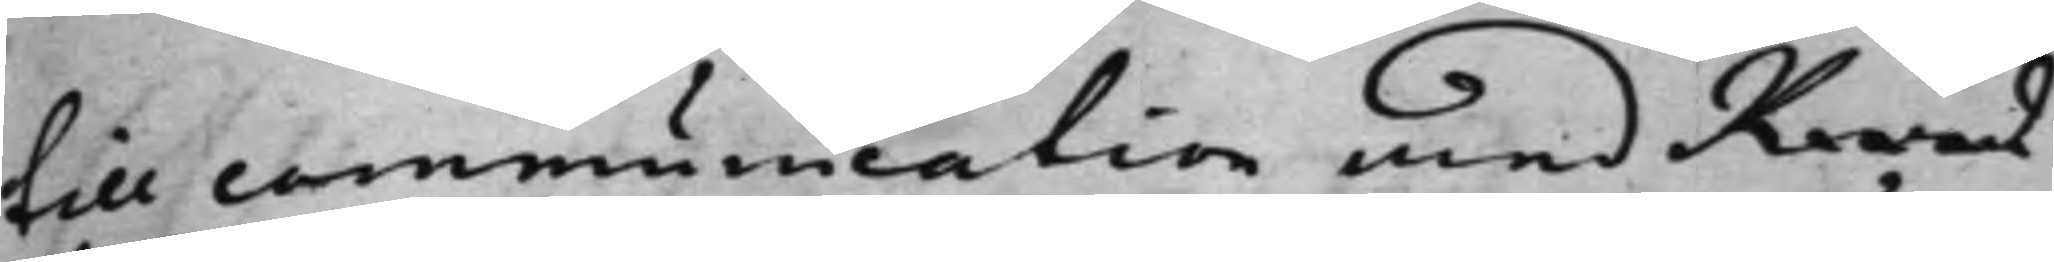till communication med Råd¬
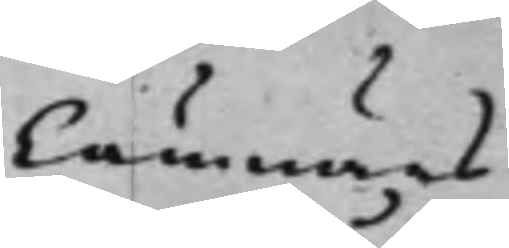Cämnärs
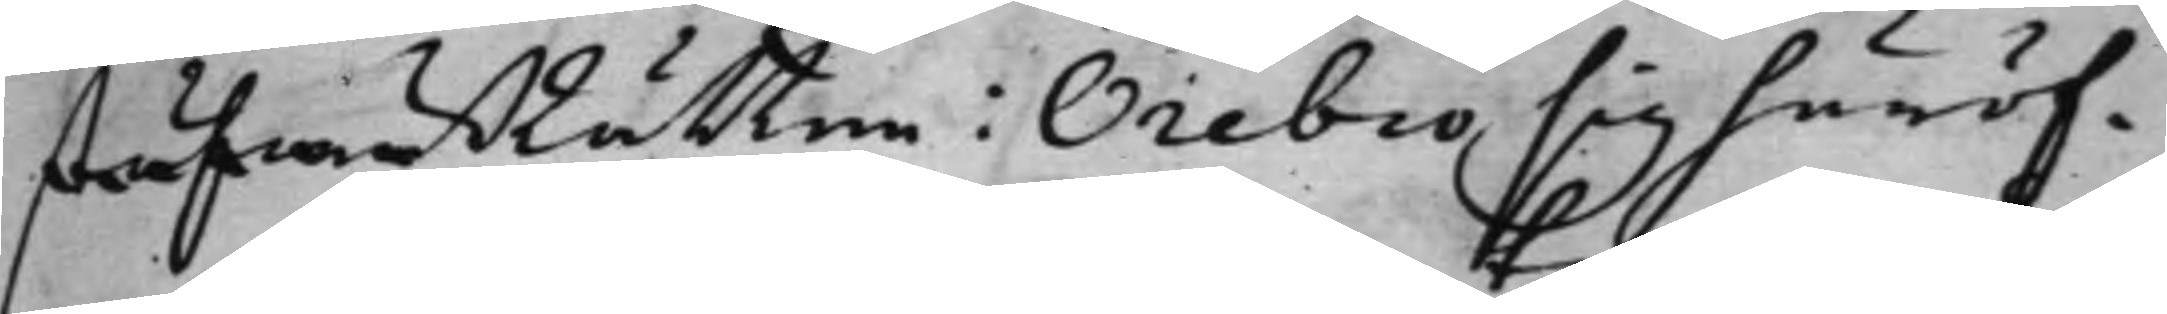stufwuRätten i Örebro sig häröf¬
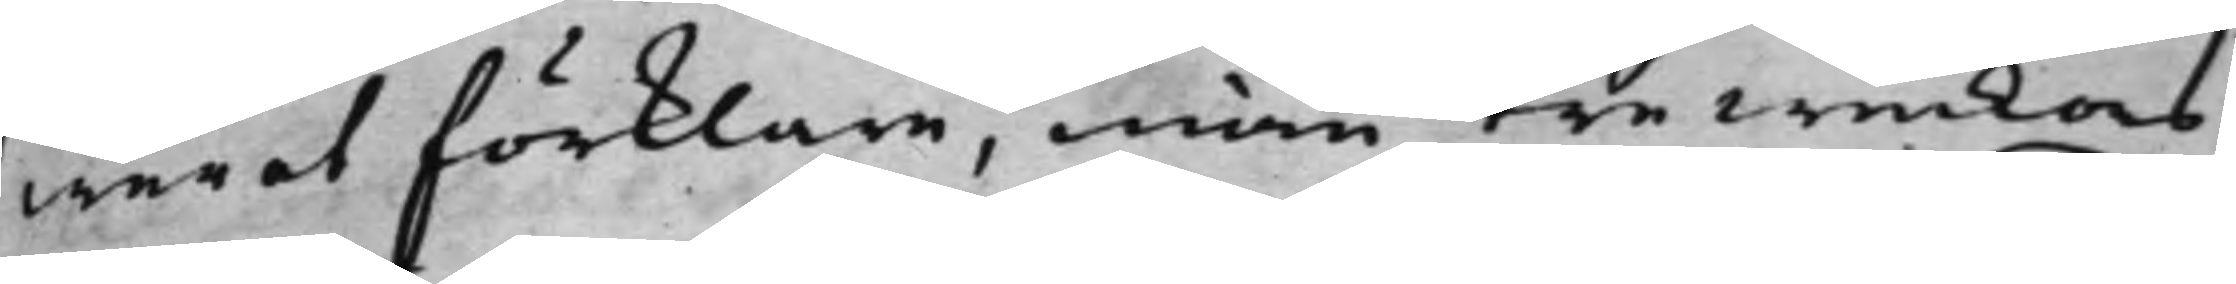wer at förklara, inom tre weckors
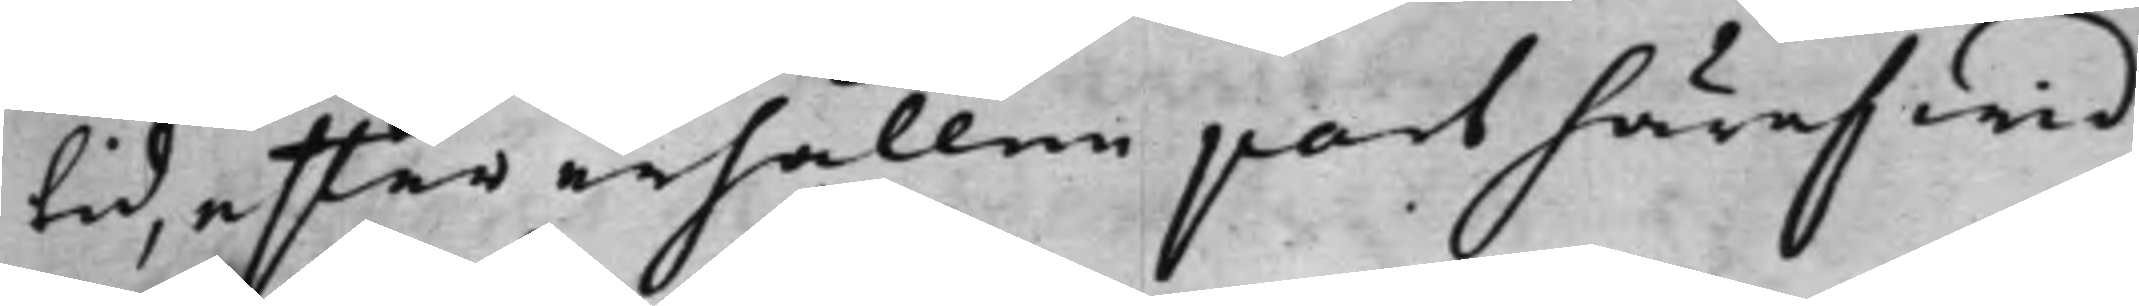tid, efter erhållen part häraf  wid
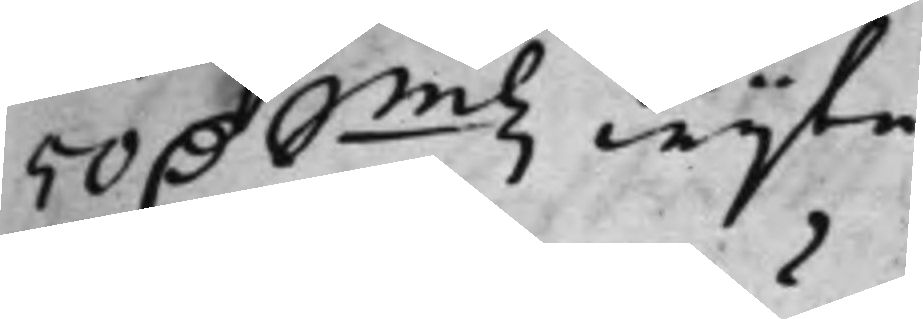50 D. Smtz wijte.
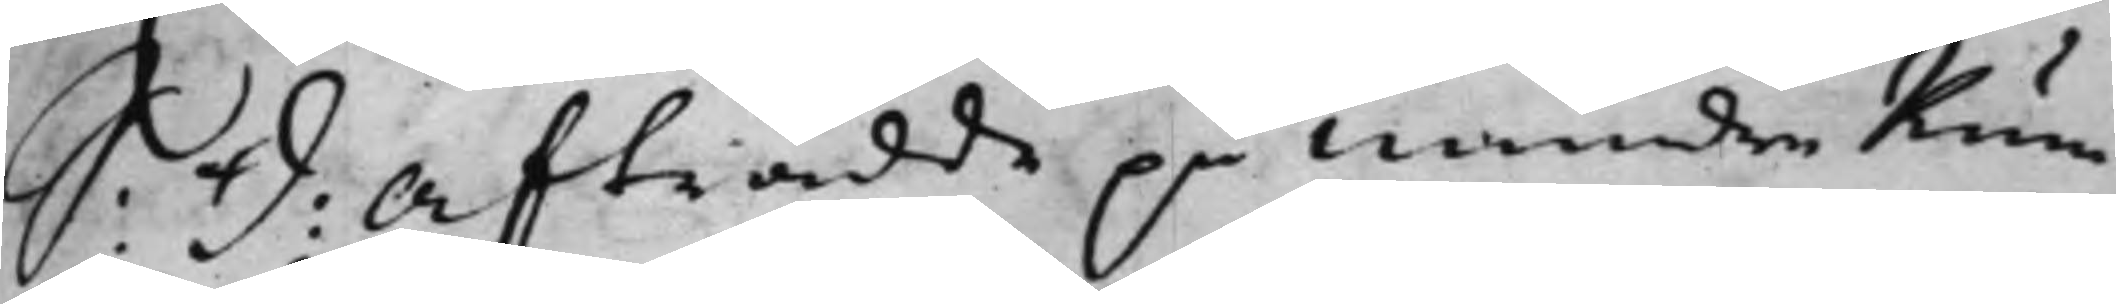S: d: Afträdde på Mindre Rum¬
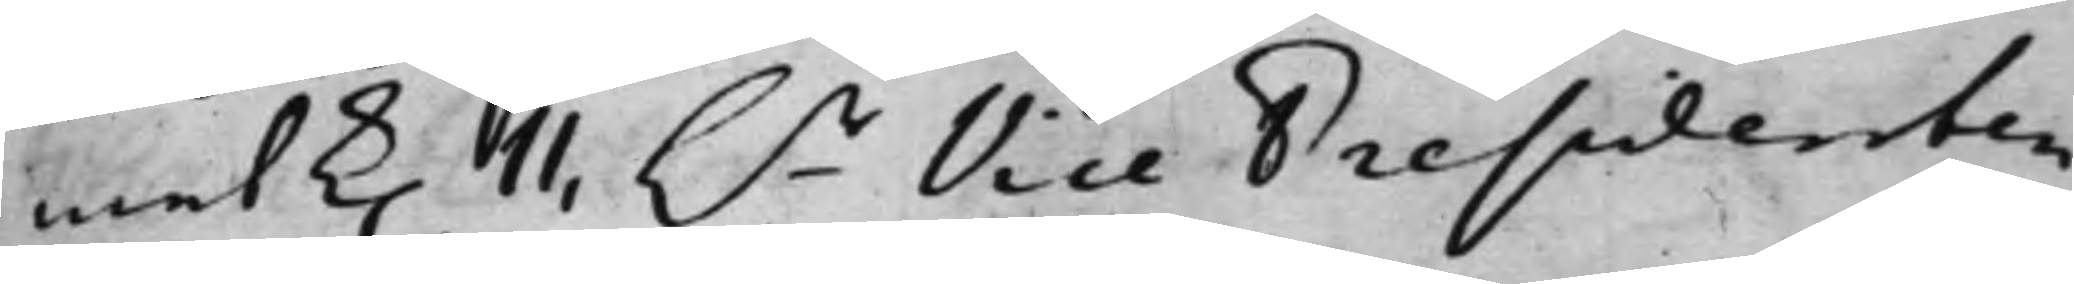met k. 11, h.r Vice Presidenten,
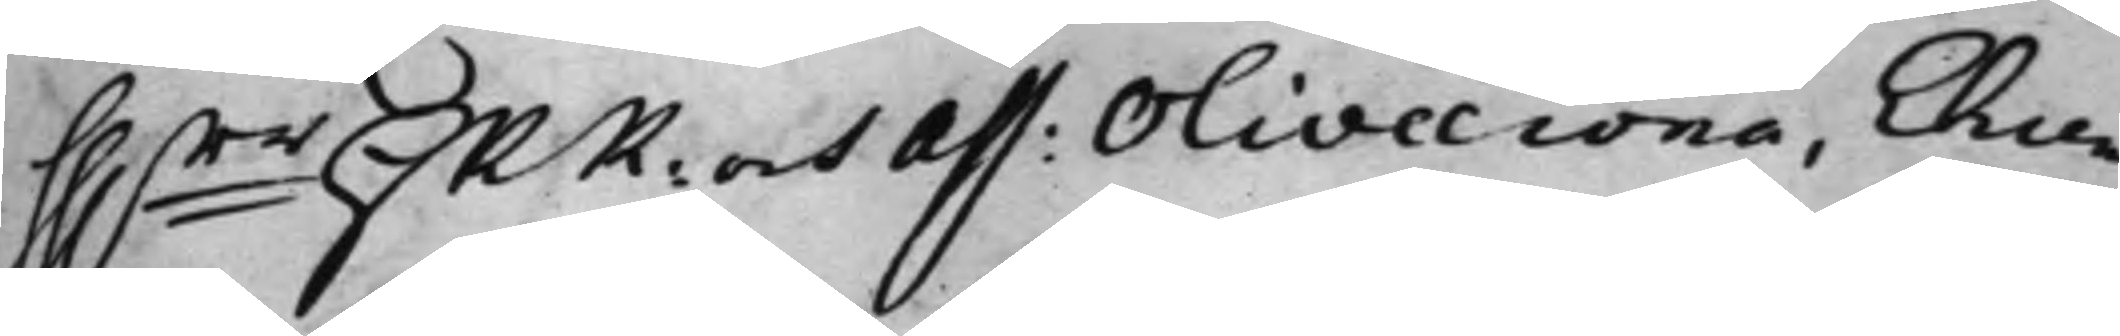hh.rr HRR: och Ass: Olivecrona, Ehren¬
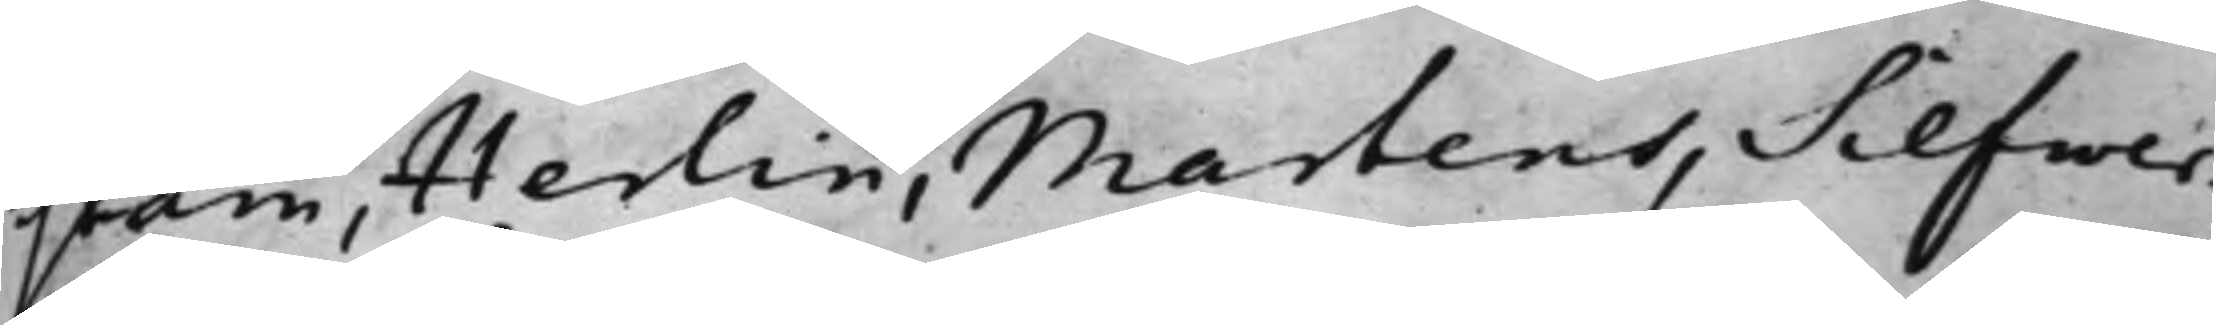stam, Herlin, Martens, Silfwer¬
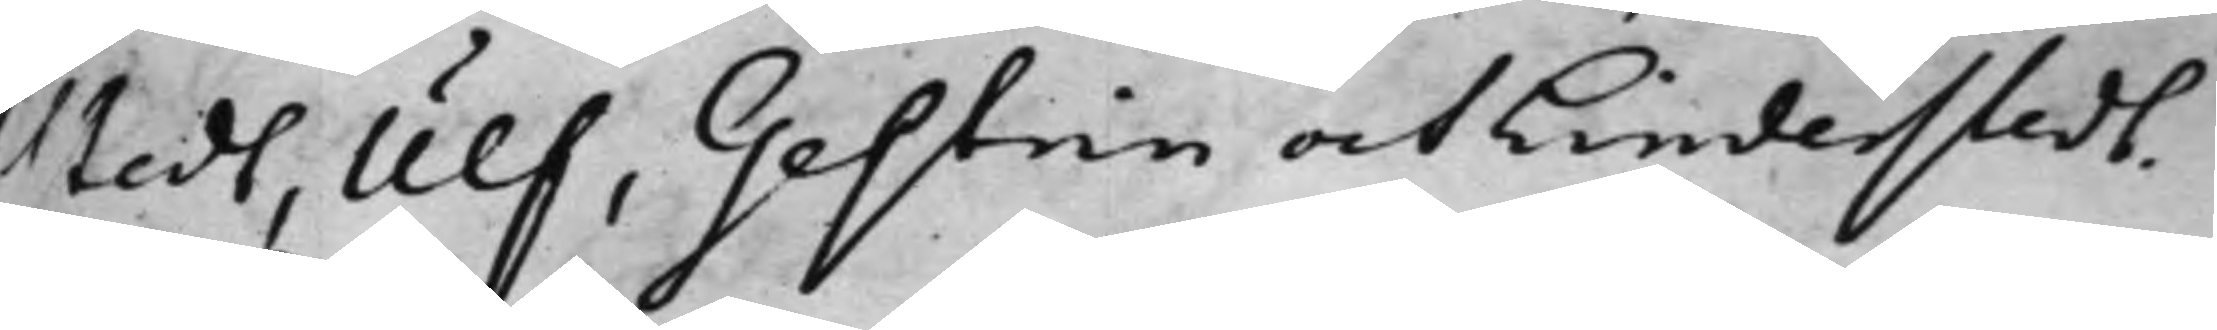stedt, Ulf, Gestrin och Linderstedt.
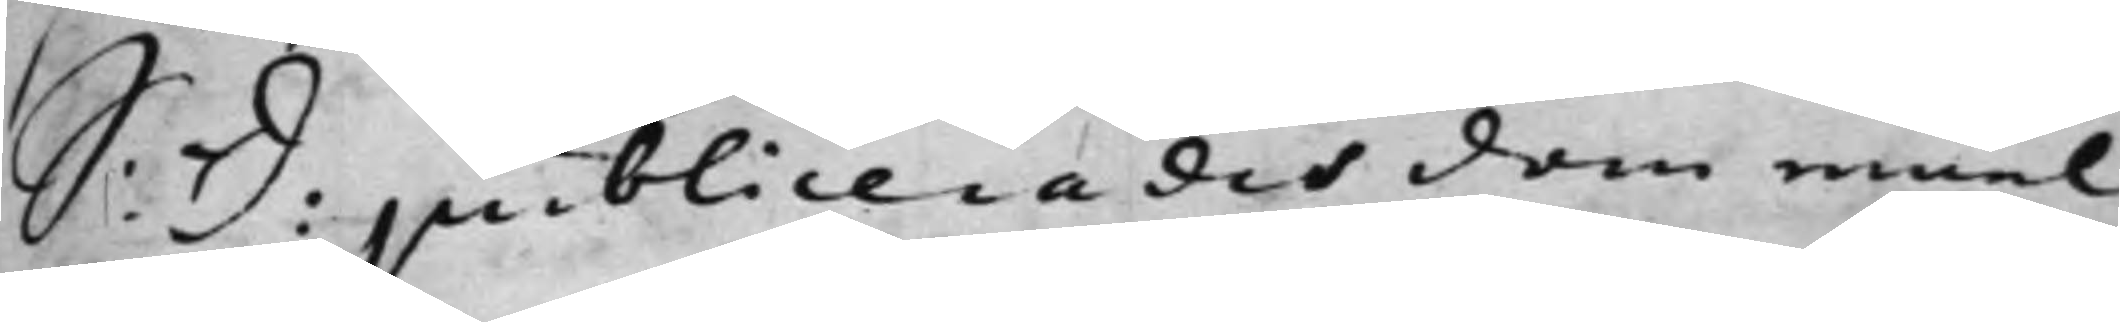S: d: publicerades dom emel¬
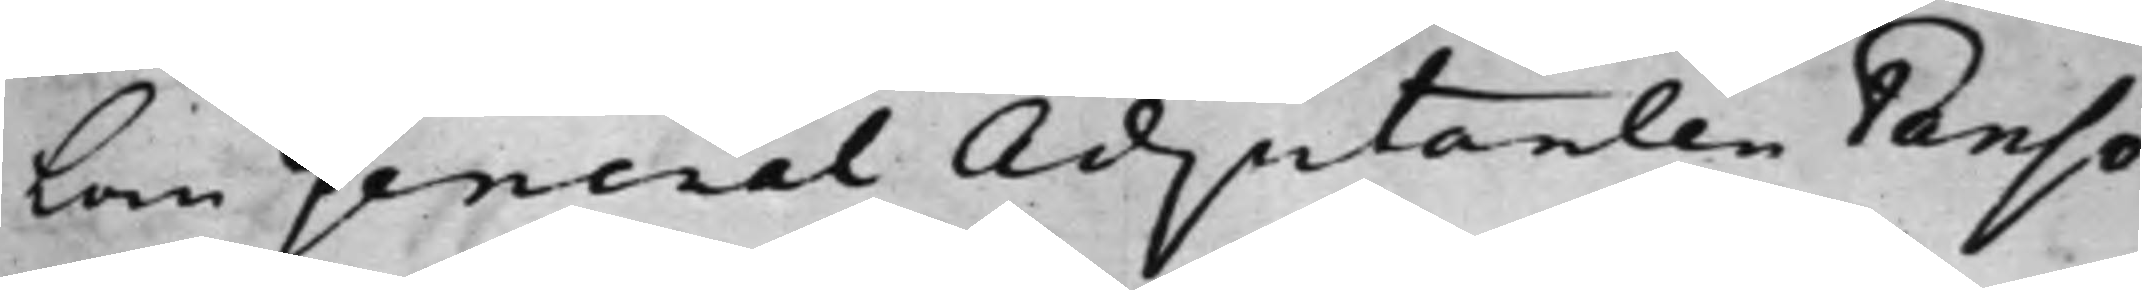lan General Adjutanten Panso
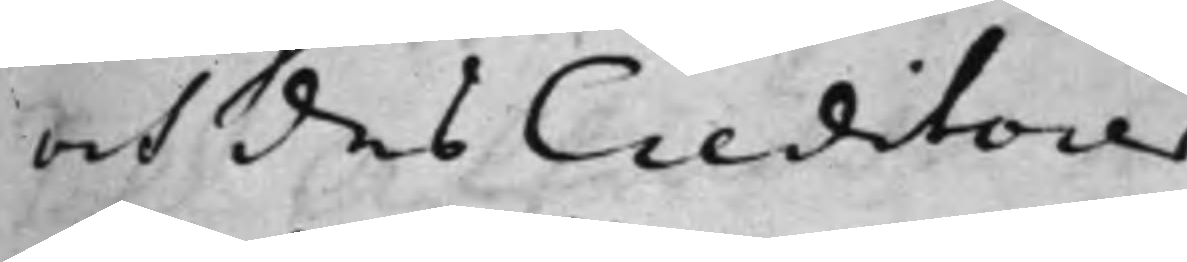och des Creditorer.
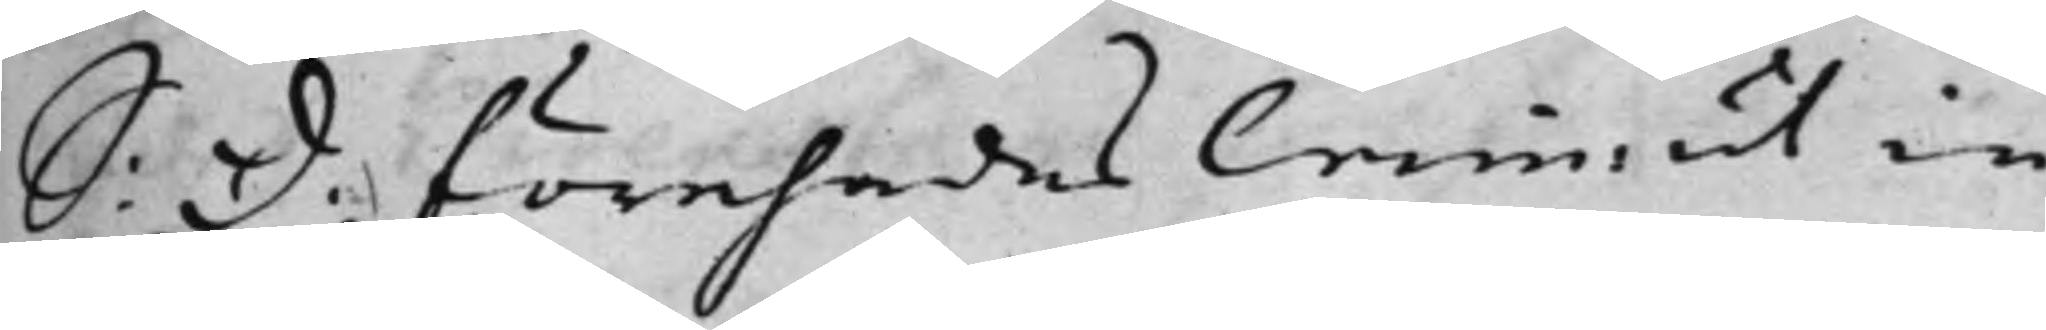S: d. förehades Crim: ut in
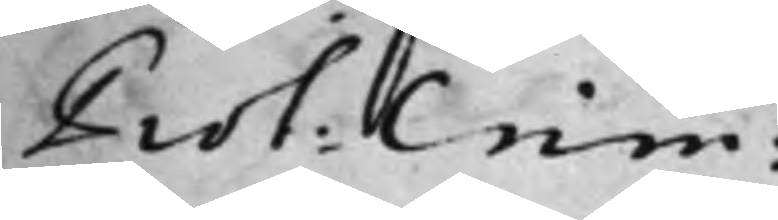Prot: Crim:
